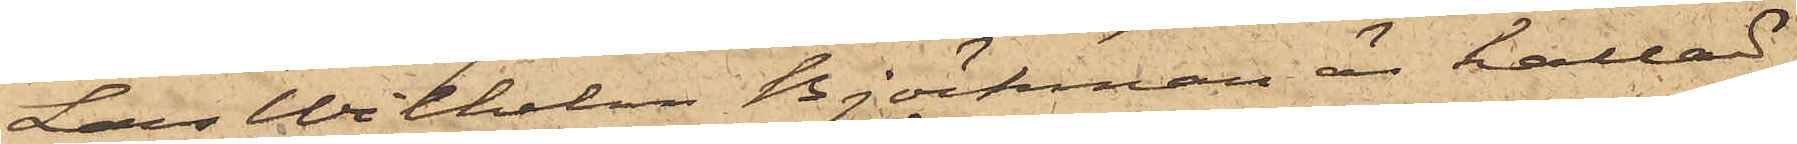Lars Wilhelm Björkman är kallad
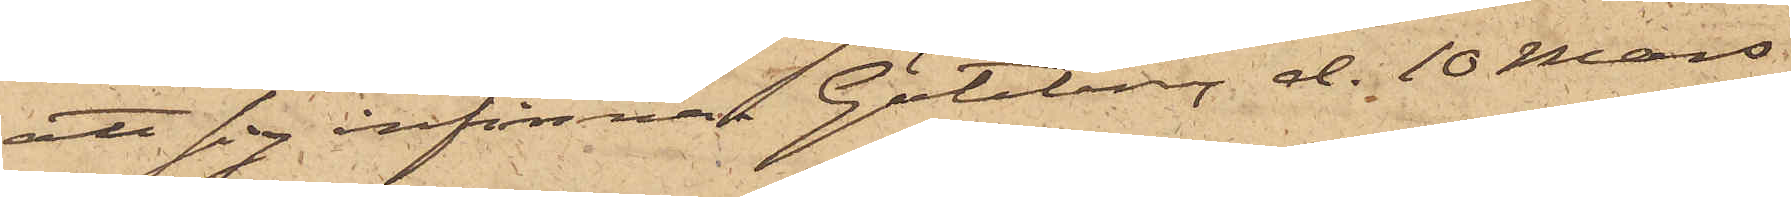att sig infinna. Göteborg d. 10 Mars
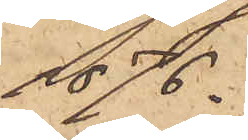1876.
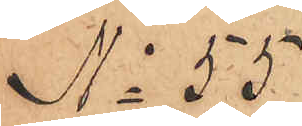No 55
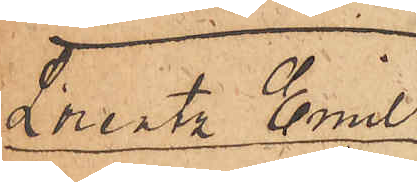Lorentz Emil 
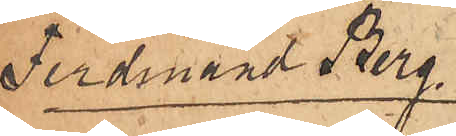Ferdinand Berg.
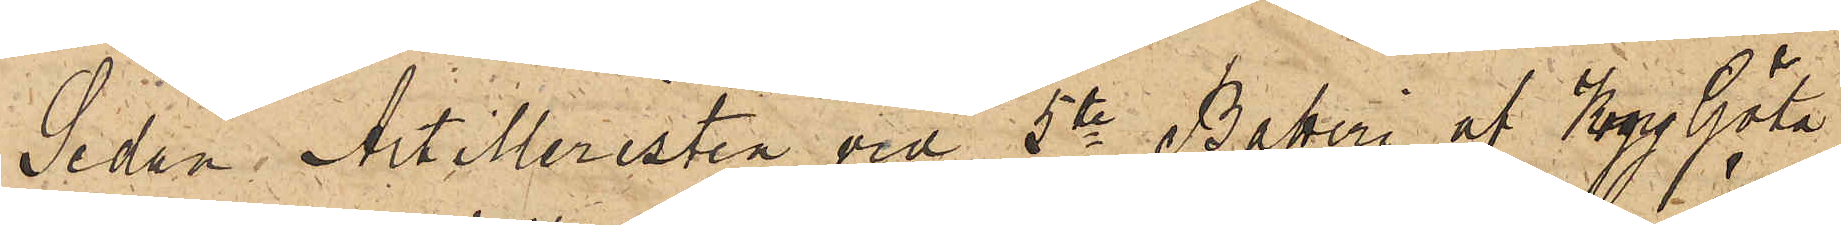Sedan Artilleristen vid 5te Batteri af Kong Göta
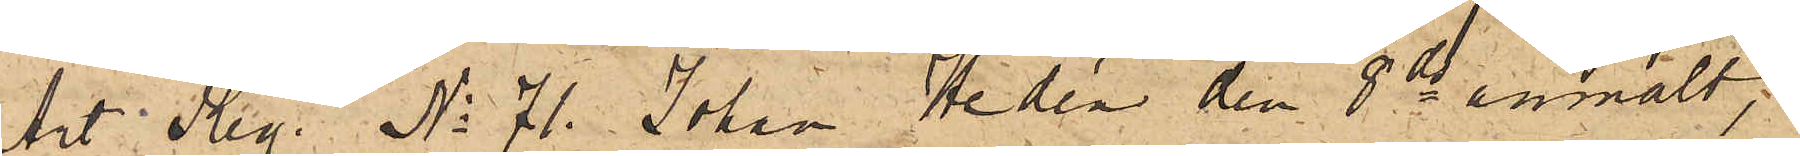Art. Reg. No 71. Johan Hedén den 8 ds anmält,
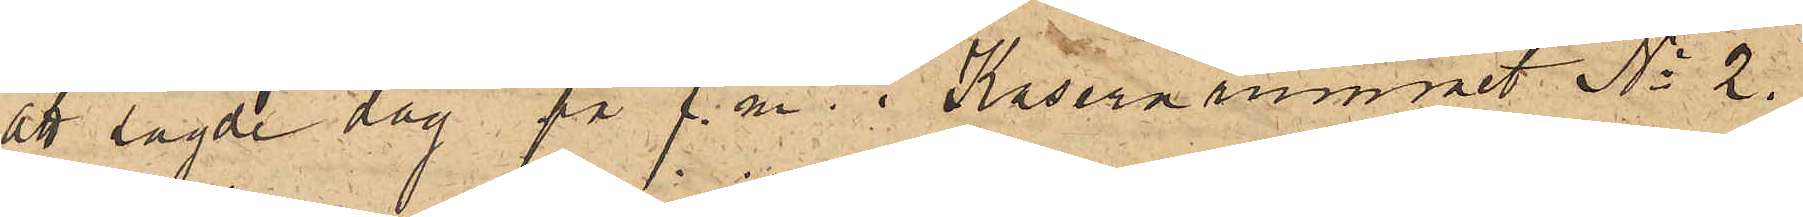att sagde dag på f. m. i Kasernrummet No 2.
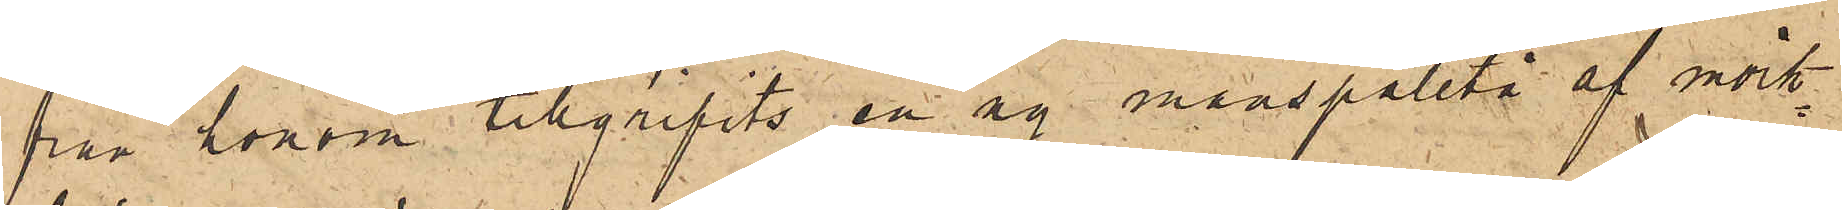från honom tillgripits en ny manspaletå af mörk¬
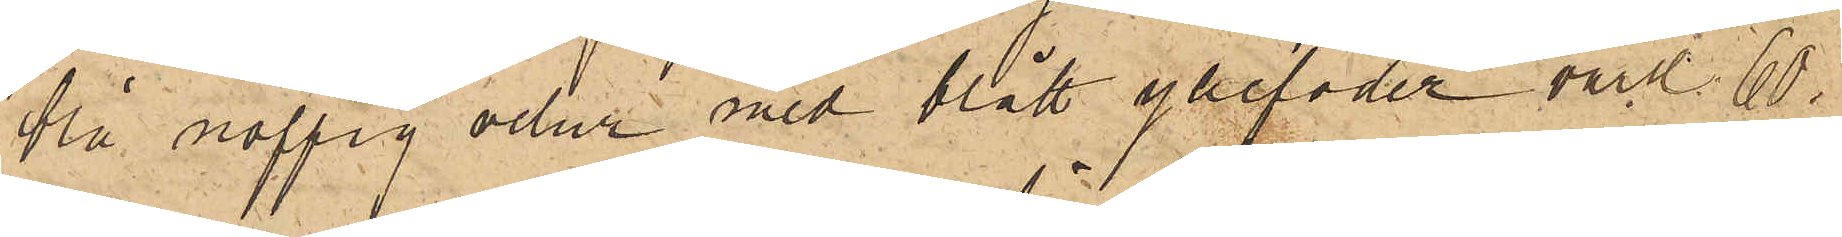blå noppig velur med blått yllefoder värd 60
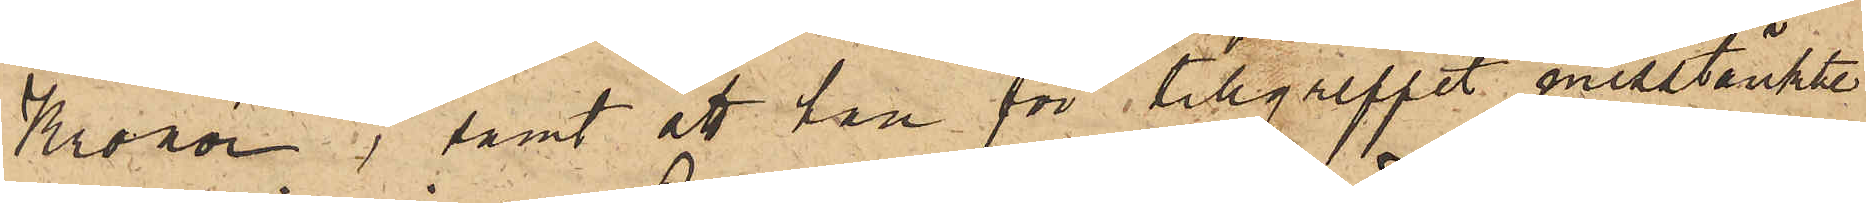Kronor; samt att han för tillgreppet misstänkte
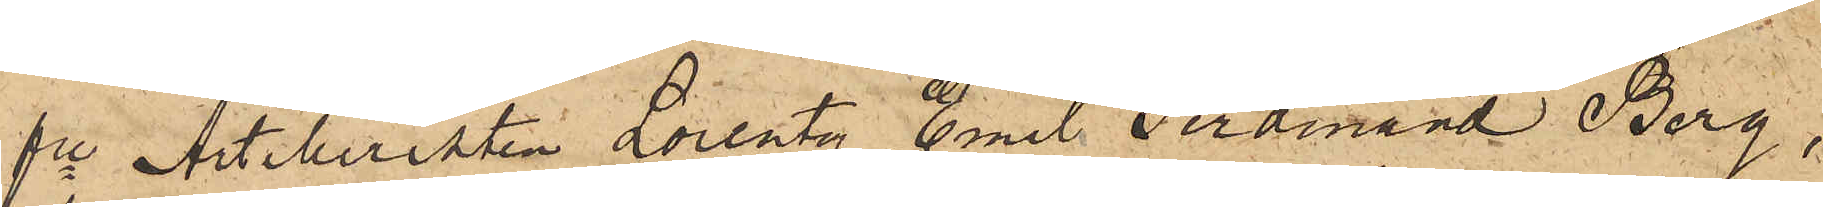fre Artilleristen Lorentz Emil Ferdinand Berg,
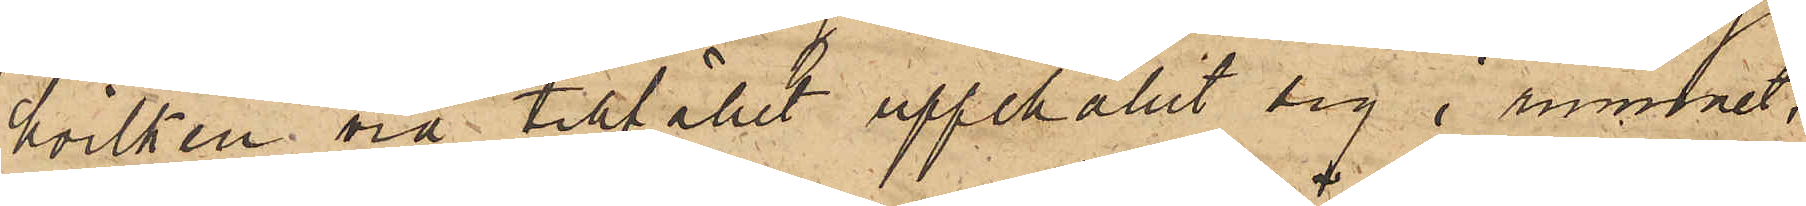hvilken vid tillfället uppehållit sig i rummet,
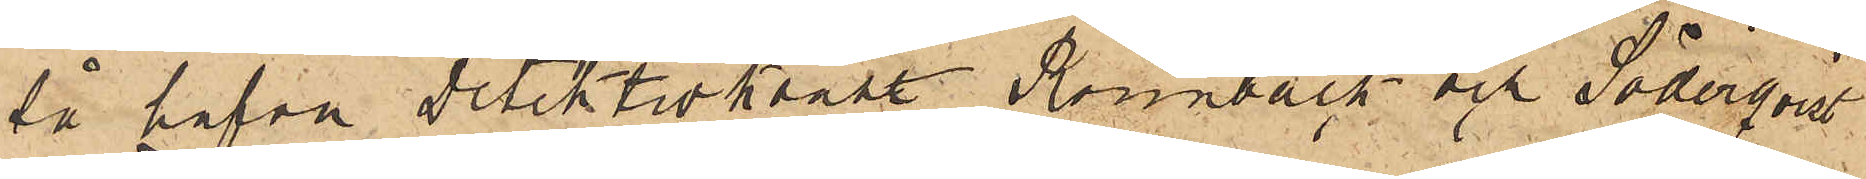så hafva detektivkonstl Rönnbäck och Söderqvist
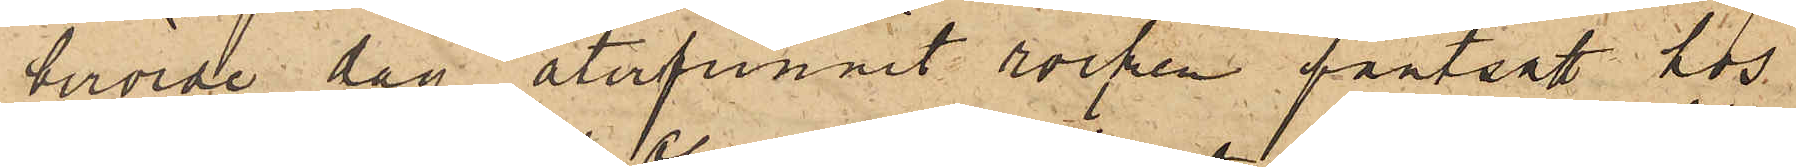berörde dag återfunnit rocken pantsatt hos
